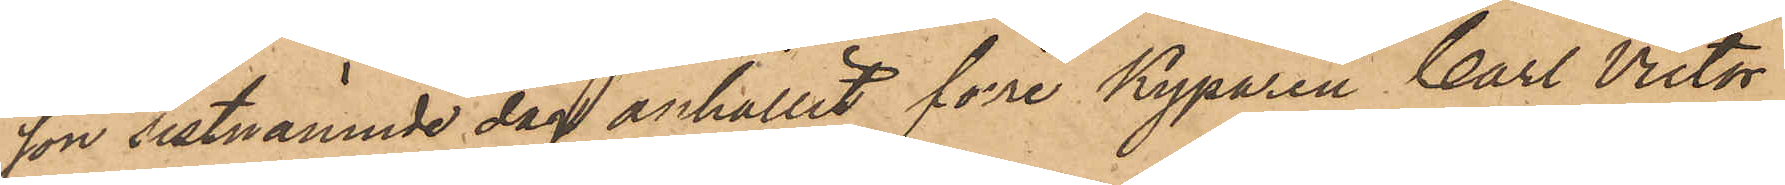son sistnämnde dag anhållit förre Kyparen Carl Victor
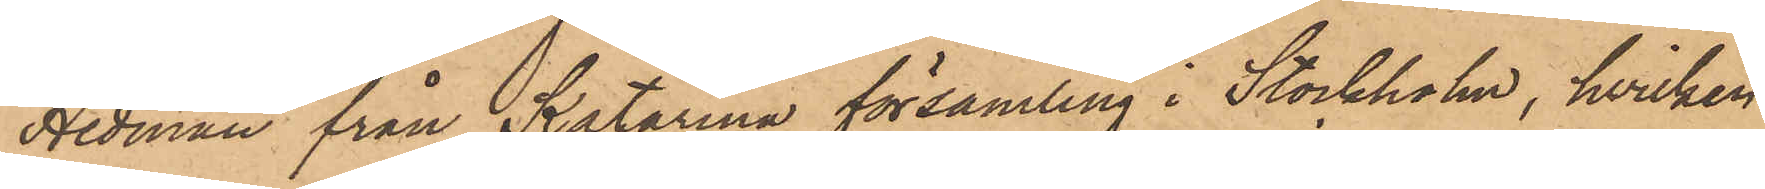Hedman från Katarina församling i Stockholm, hvilken
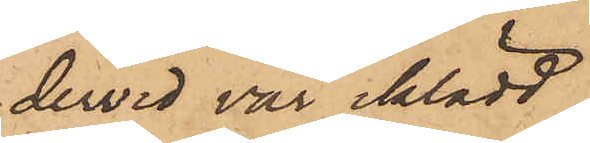dervid var iklädd
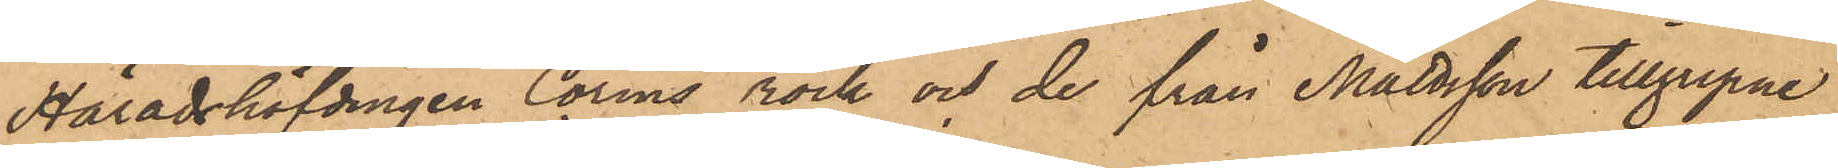Häradshöfdingen Corins rock och de från Mattsson tillgripne
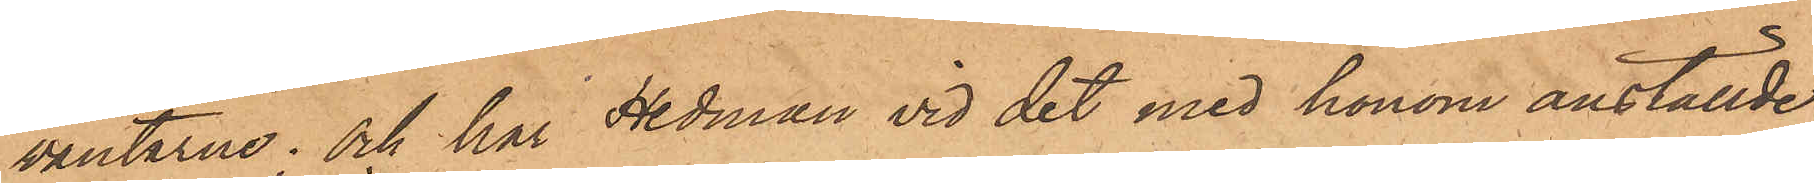vantarne; och har Hedman vid det med honom anställde
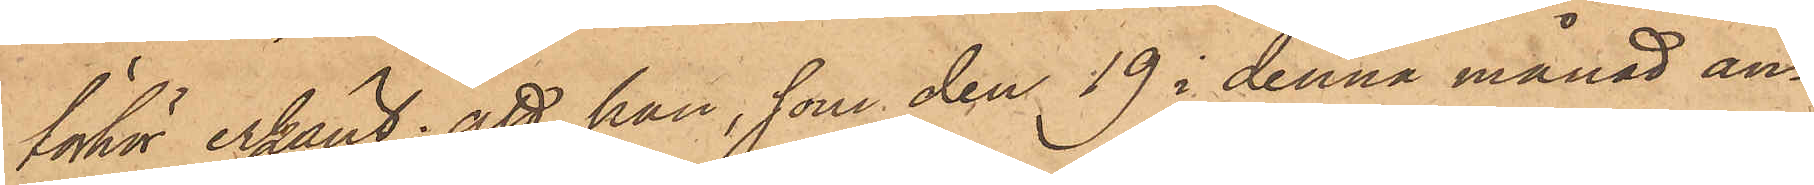förhör erkänt: att han, som den 19 i denna månad an¬
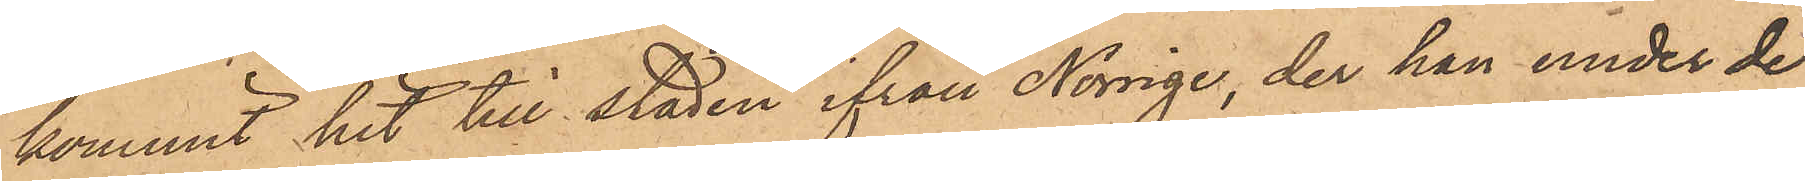kommit hit till staden ifrån Norige, der han under de
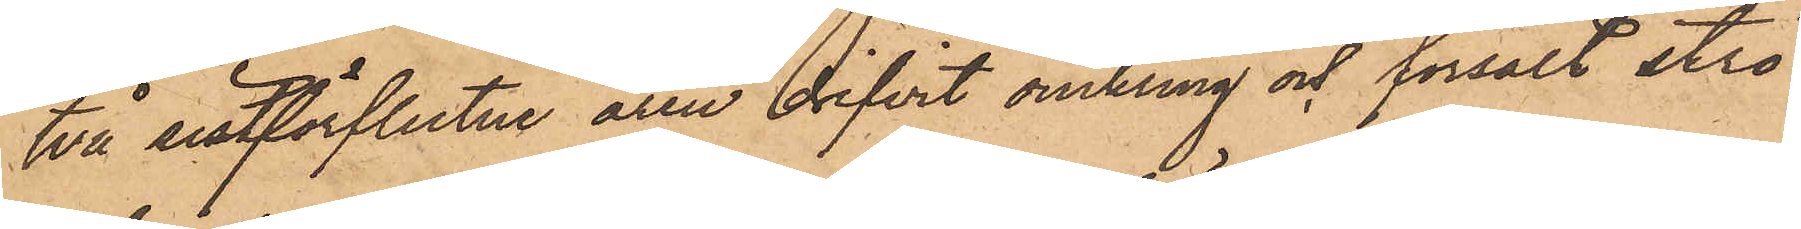två sistförflutne åren drifvit omkring och försålt strö¬
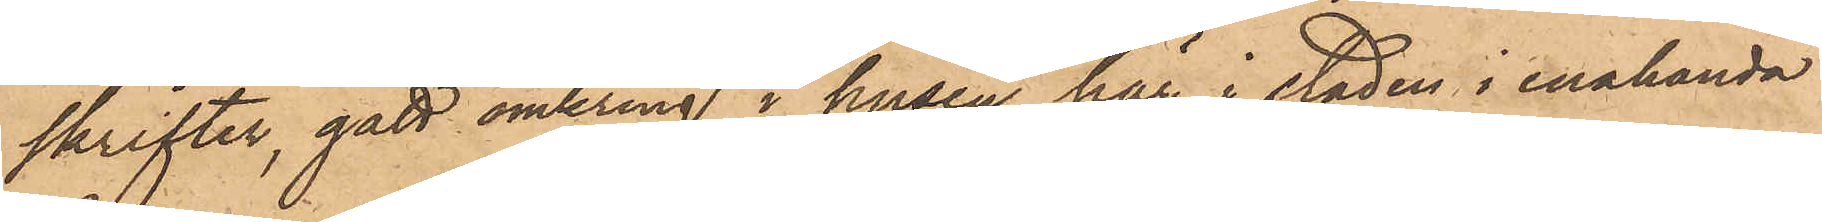skrifter, gått omkring i husen här i staden i enahanda
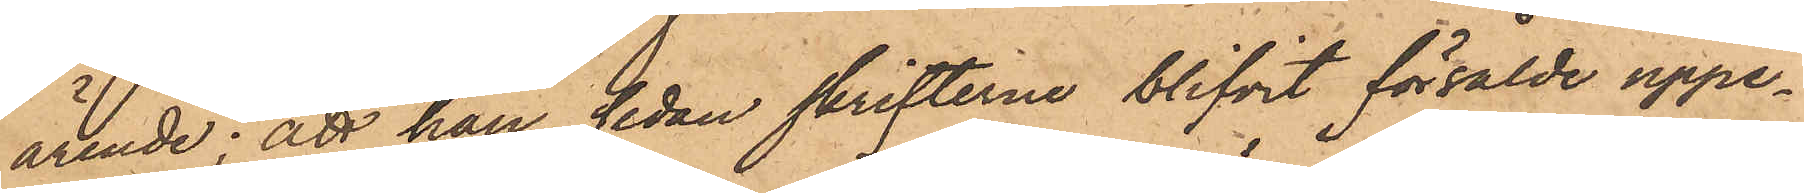ärende; att han, sedan skrifterne blifvit försålde uppe¬
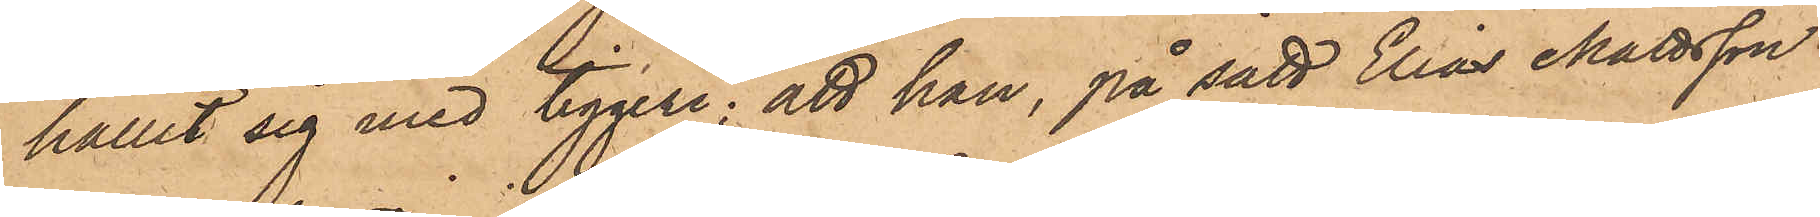hållit sig med tiggeri; att han, på sätt Elias Mattsson
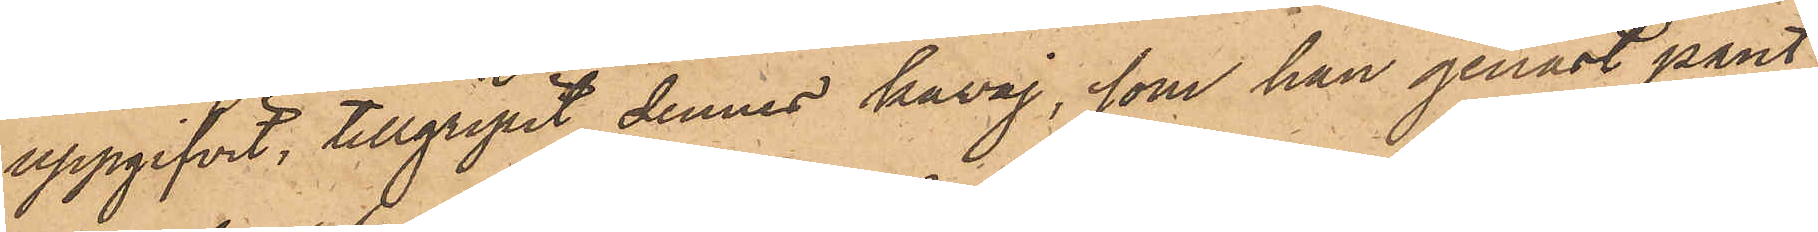uppgifvit, tillgripit dennes kavaj, som han genast pant¬
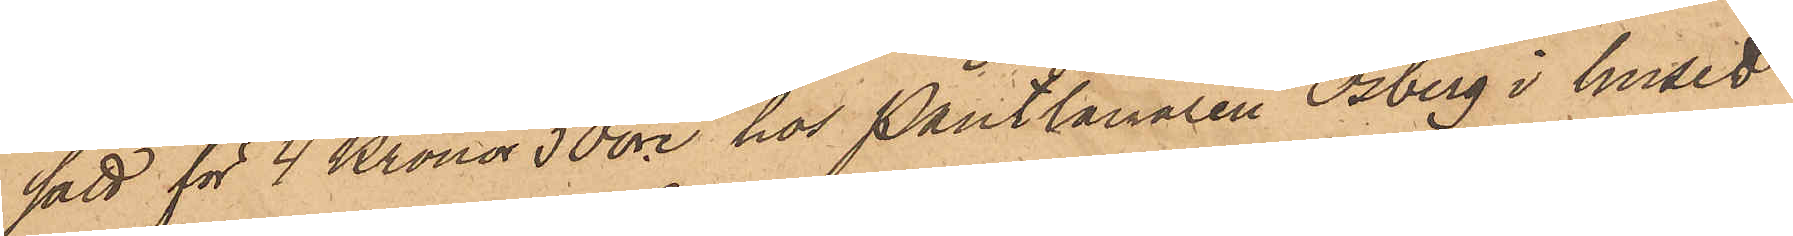satt för 4 Kronor 50 öre hos Pantlånaren Osberg i huset
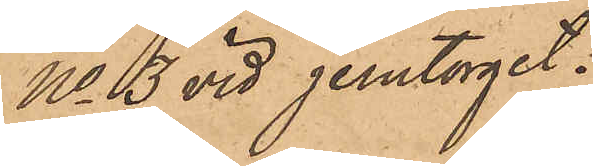No3 vid Jerntorget;
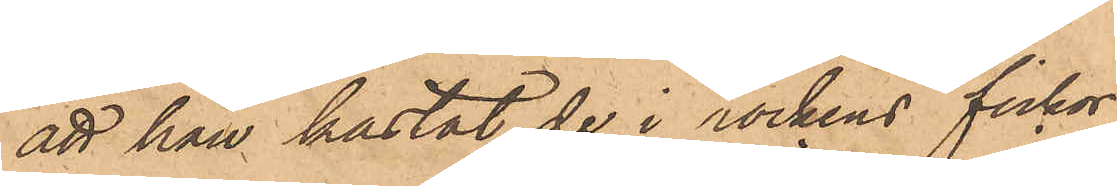att han kastat de i rockens fickor
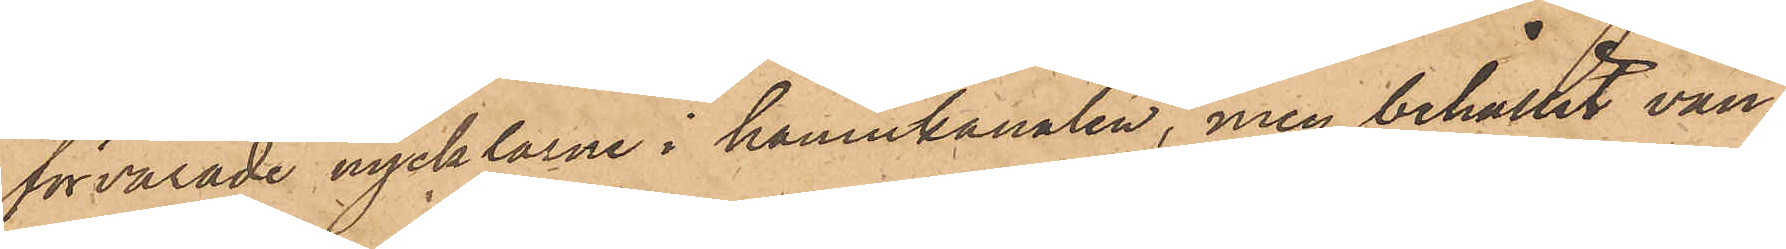förvarade nycklarne i hamnkanalen, men behållit van¬
